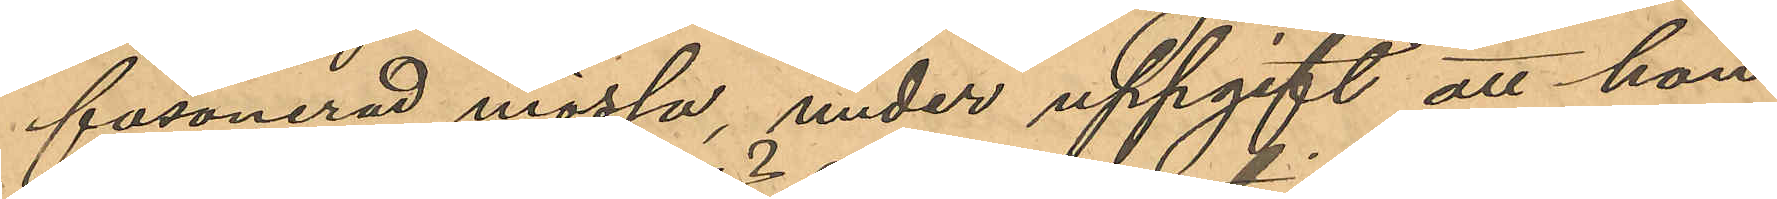fasonerad mössa, under uppgift att hon
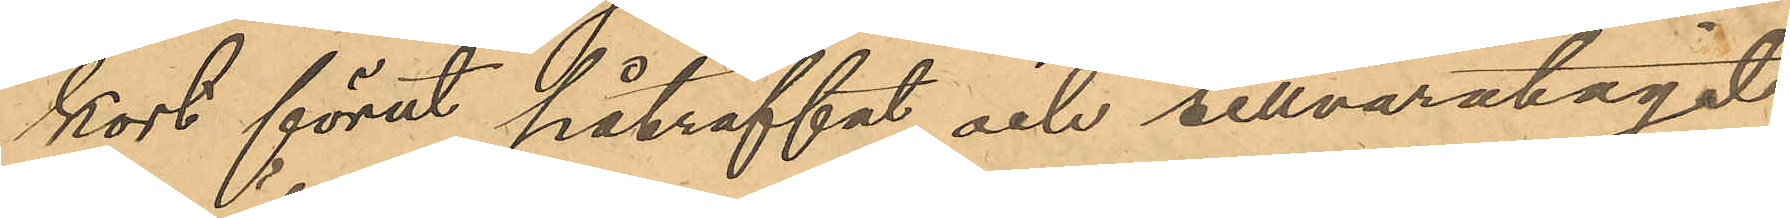kort förut påträffat och tillvaratagit
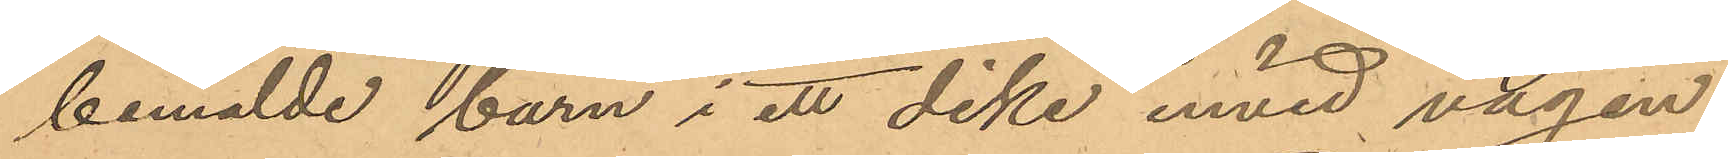bemälde barn i ett dike invid vägen,
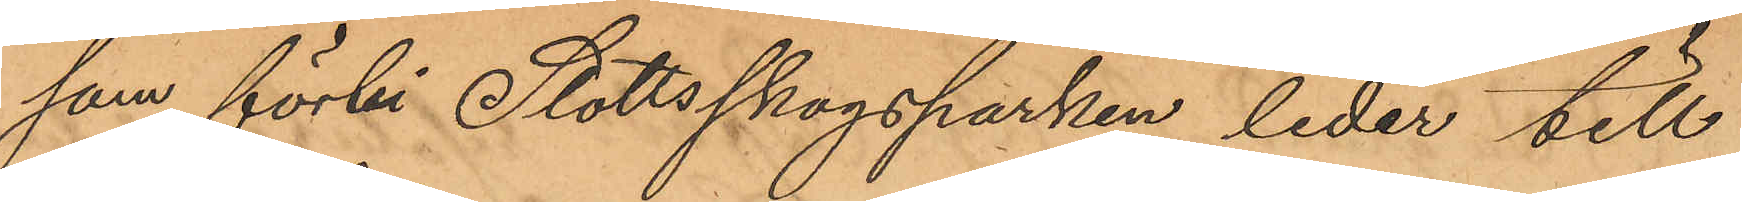som förbi Slottsskogsparken leder till
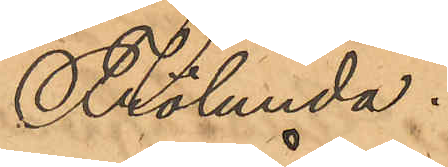Frölunda.
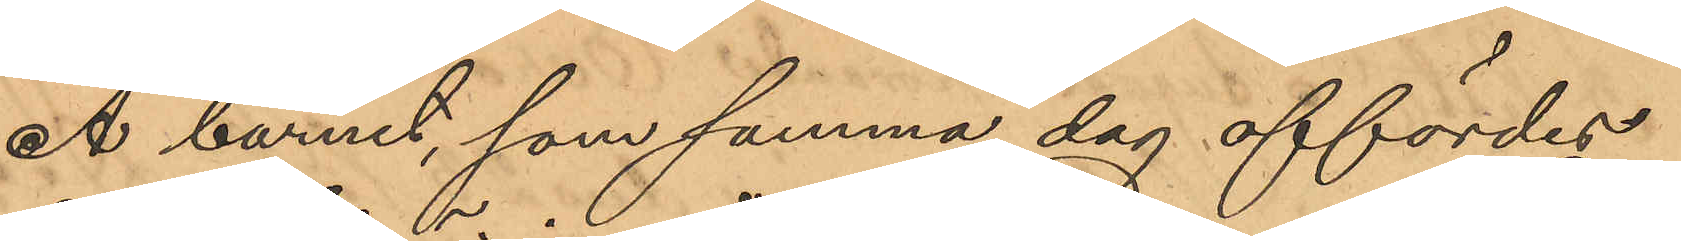Å barnet, som samma dag affördes
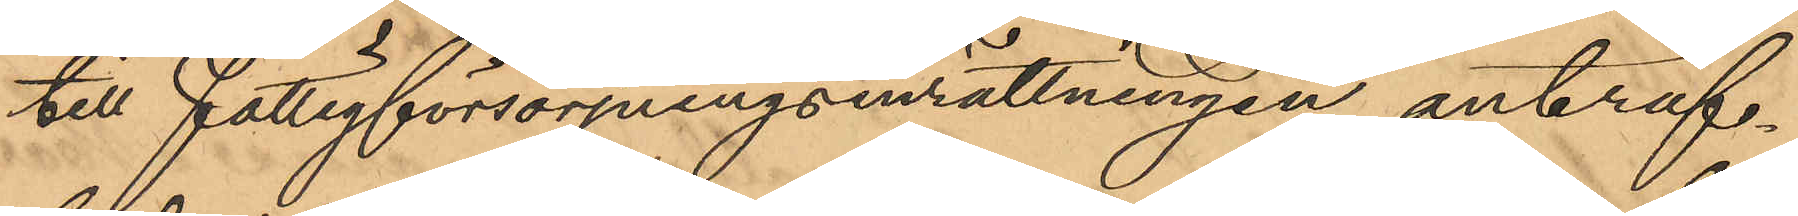till Fattigförsörjningsinrättningen anträf¬
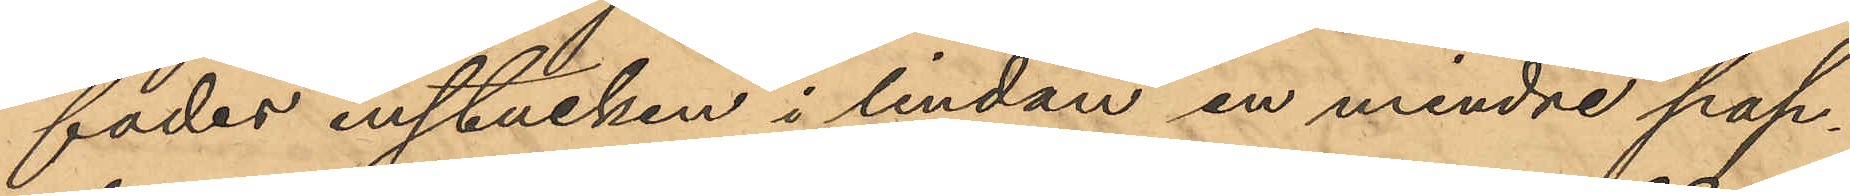fades instucken i lindan en mindre pap¬
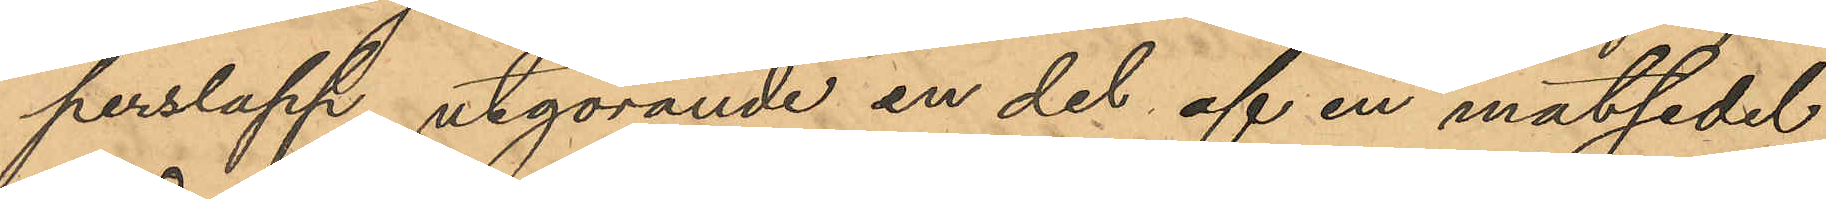perslapp, utgörande en del af en matsedel
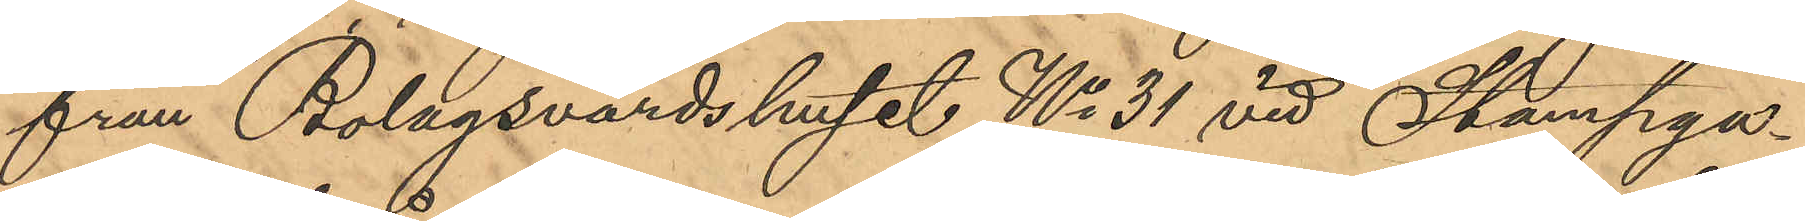från Bolagsvärdshuset No 31 vid Stampga¬
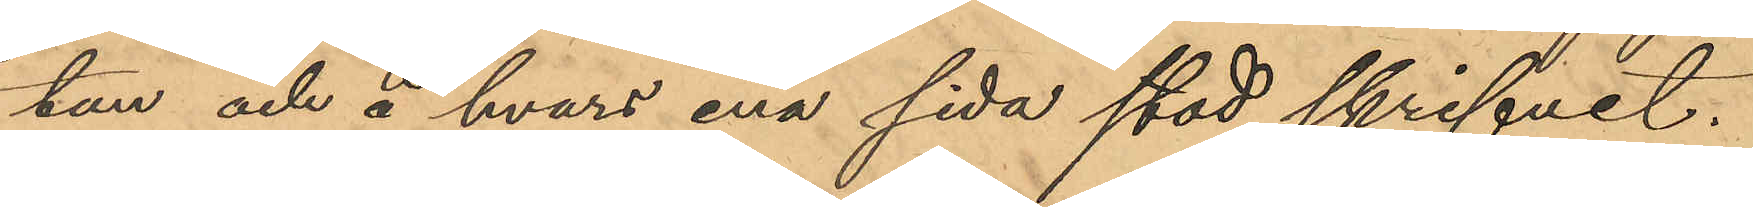tan och å hvars ena sida stod skrifvet.
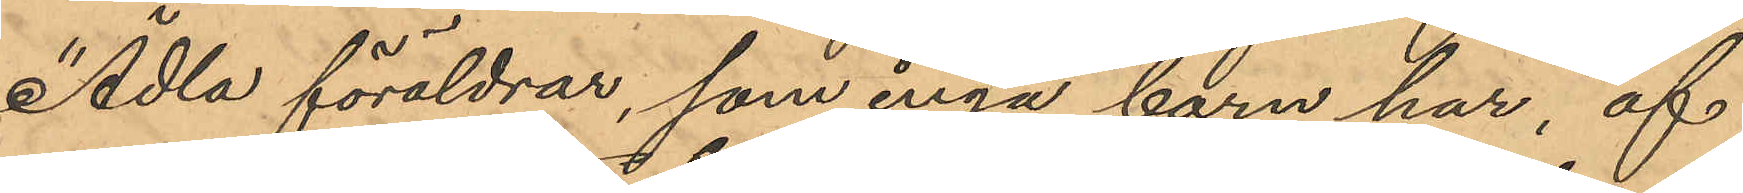"Ädla föräldrar, som inga barn har, af
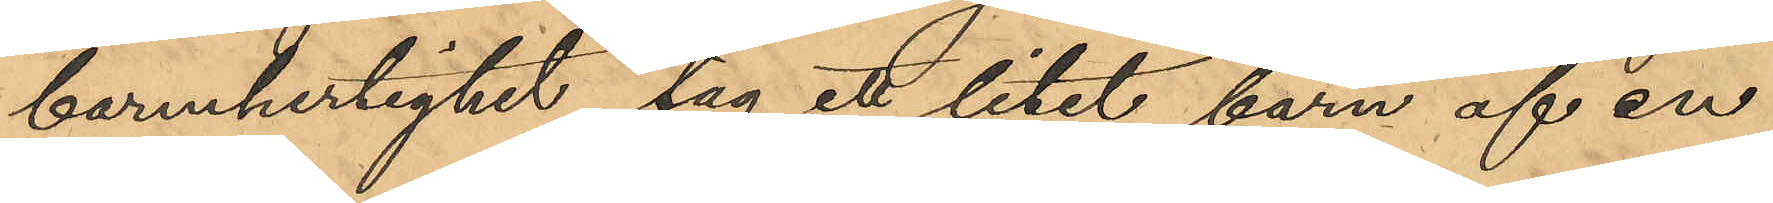barmhertighet tag ett litet barn af en
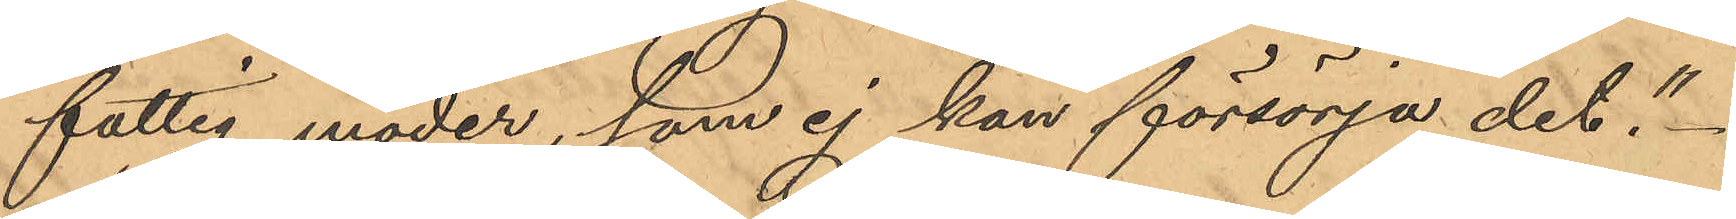fattig moder, som ej kan försörja det."
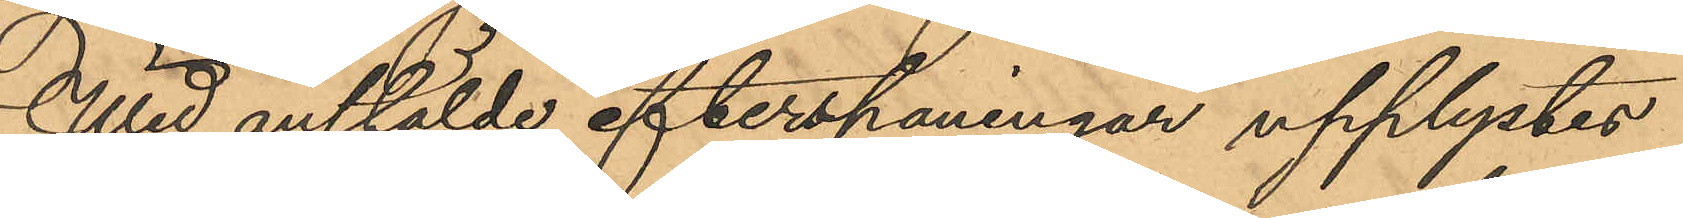Wid anstälde efterspaningar upplystes
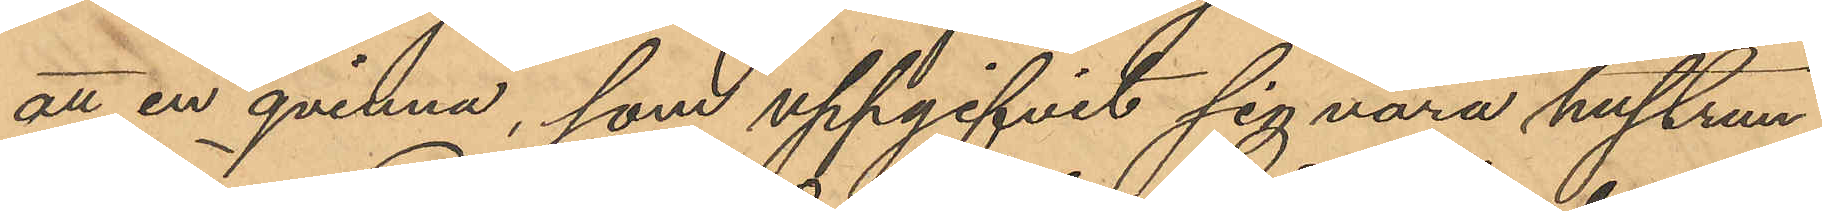att en qvinna, som uppgifvit sig vara hustrun
